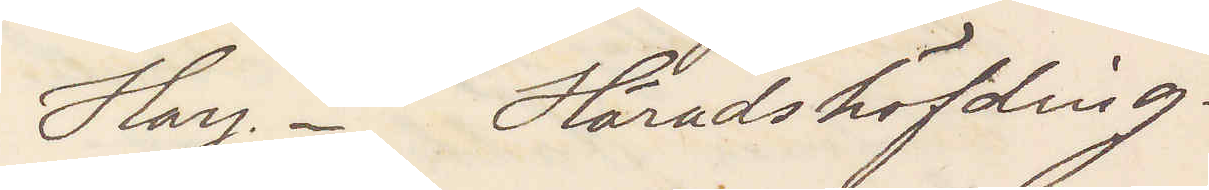Hay. Häradshöfding.
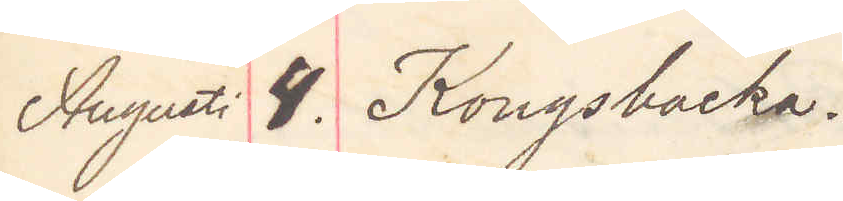August 4. Kongsbacka
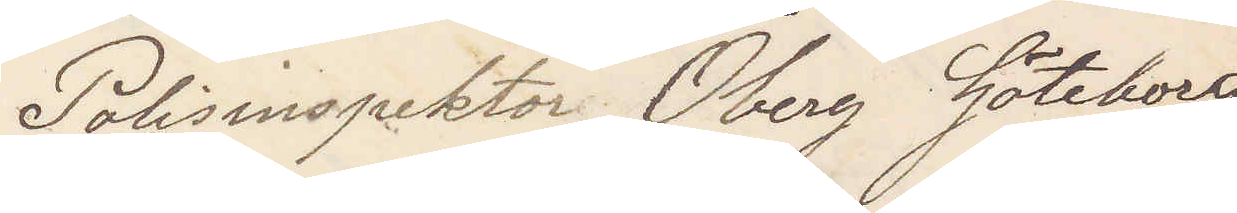Polisinspektor Öberg Göteborg
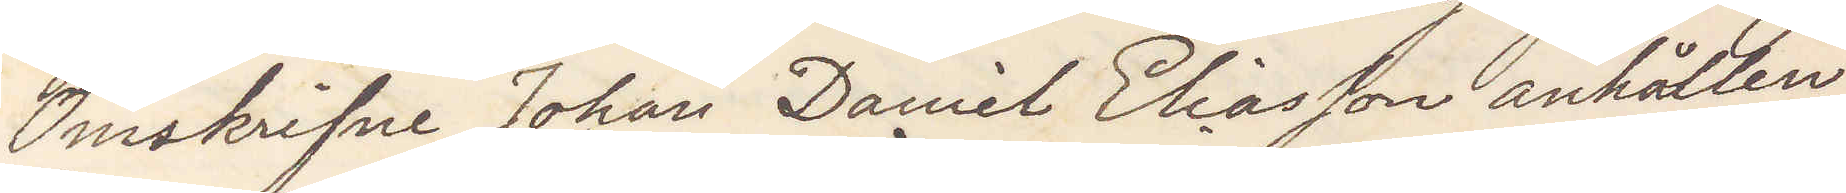Omskrifne Johan Daniel Eliasson anhållen
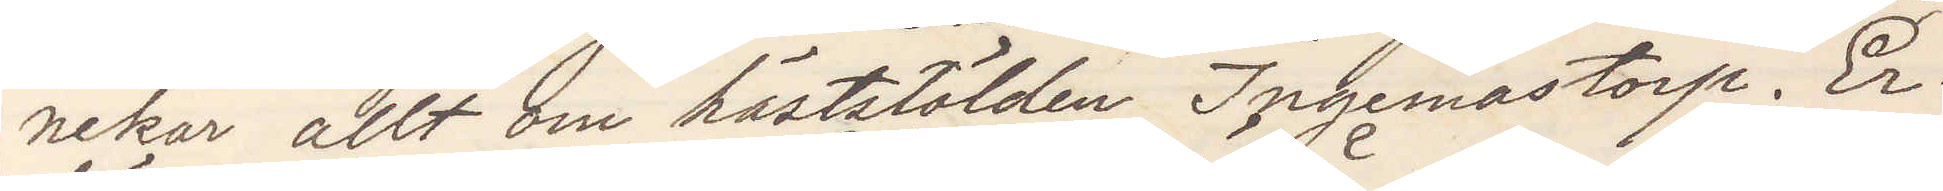nekar allt om häststölden Ingemastorp. Er¬
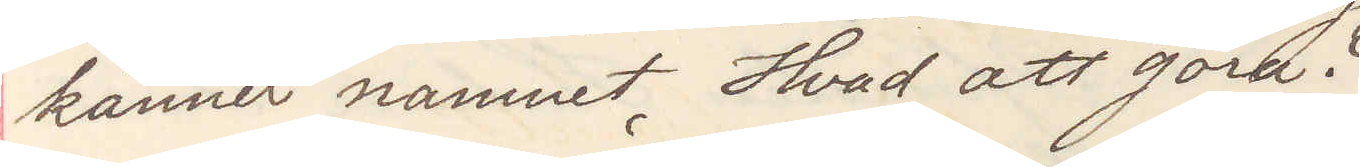känner namnet. Hvad att göra?
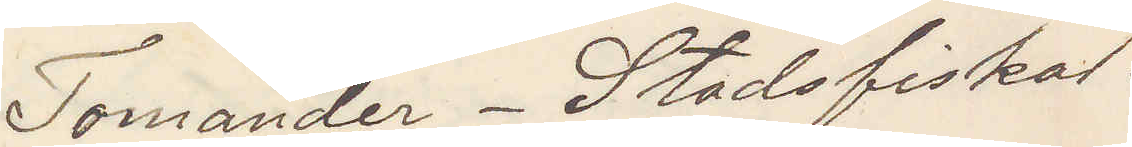Tomander. Stadsfiskal.
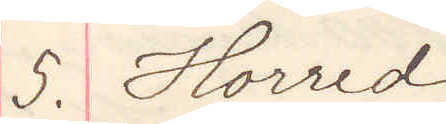5. Horred.
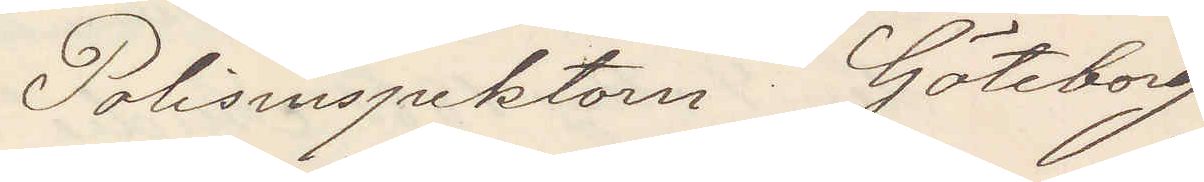Polisinspektorn Göteborg
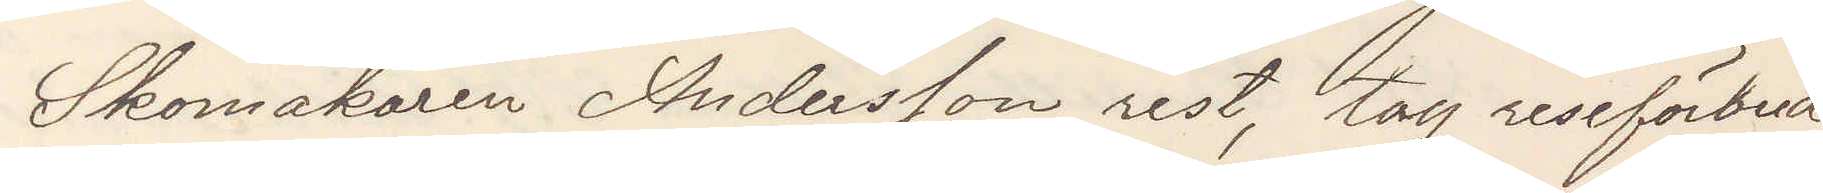Skomakaren Andersson rest, tag reseförbud,
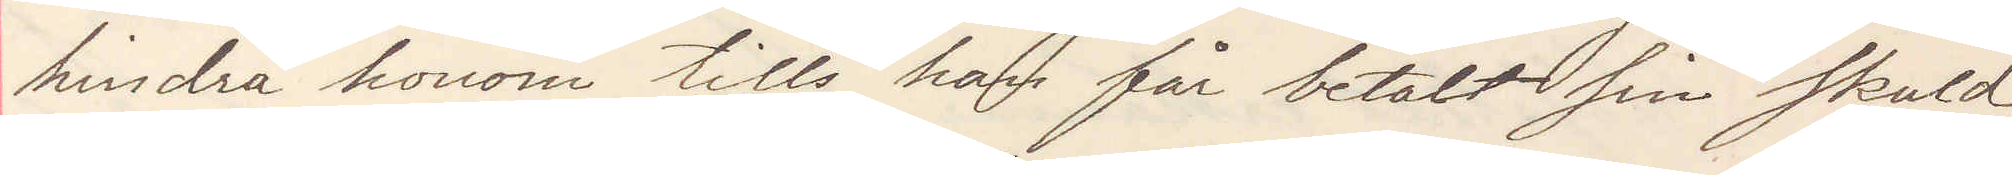hindra honom tills han får betalt sin skuld
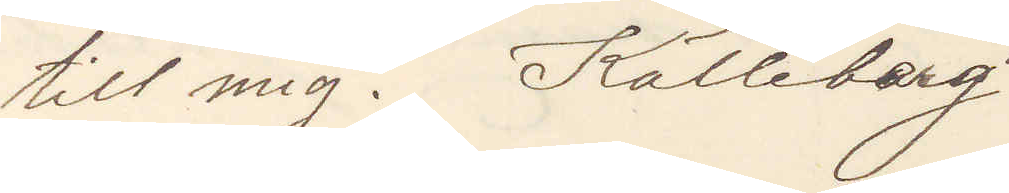till mig. Källeberg.
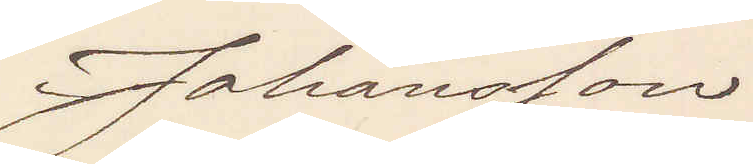Johansson
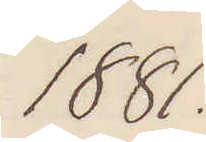1881.
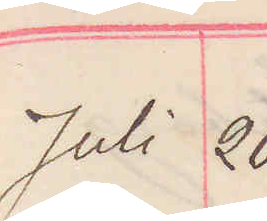Juli 20.
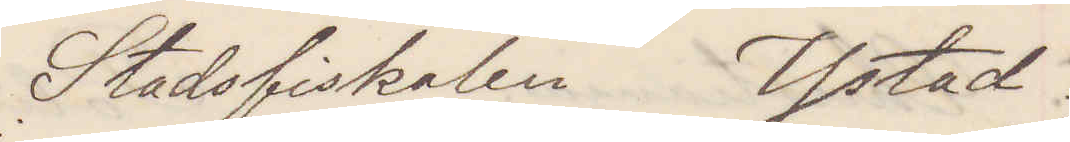Stadsfiskalen Ystad
